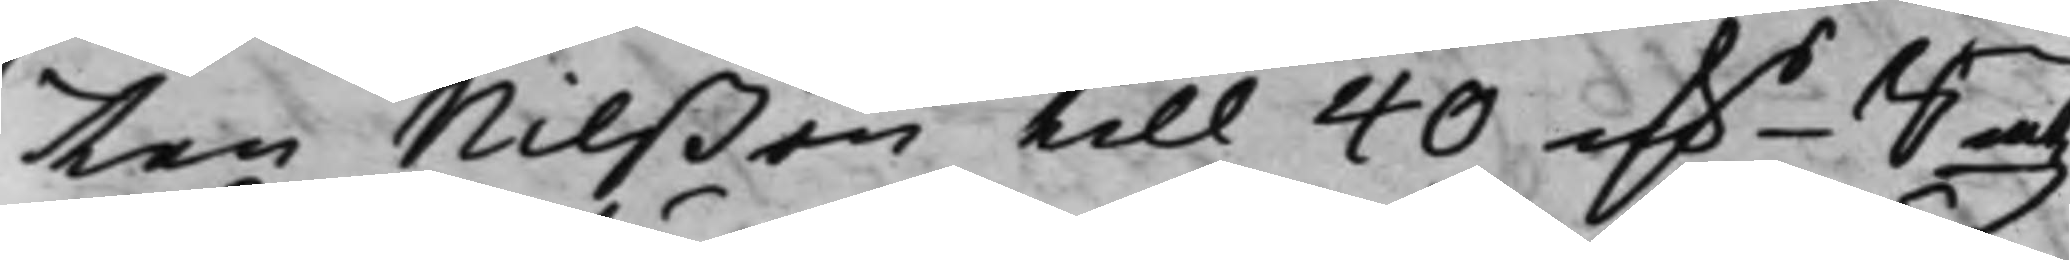ten Nilßon till 40 mk.r Smtz 
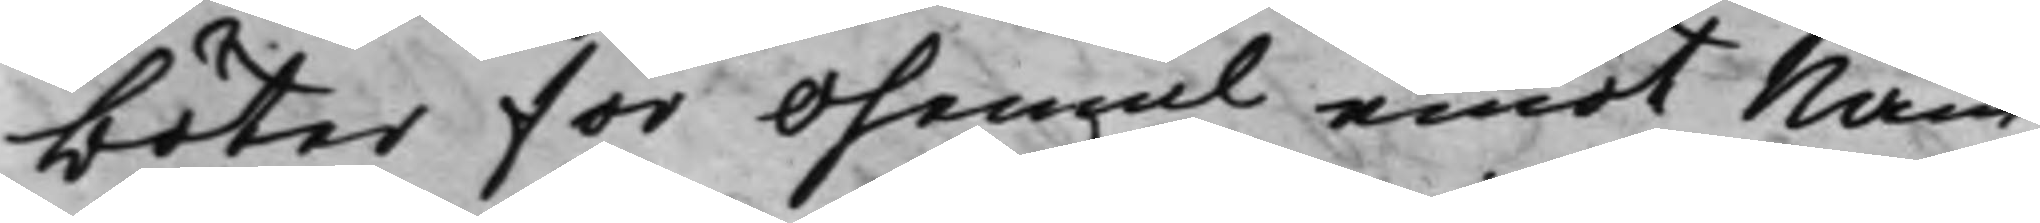böter för ohemul emot Näm¬
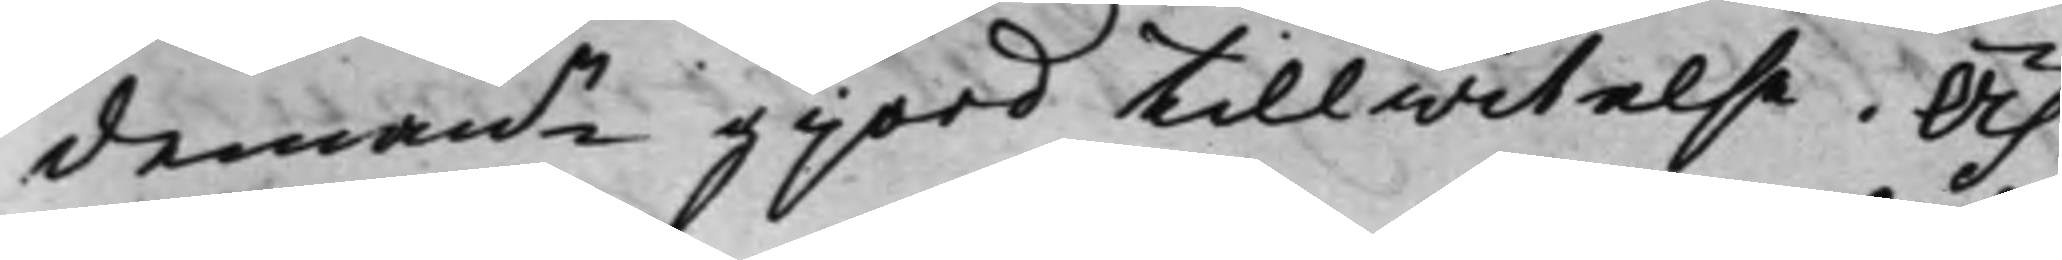demann gjord tillwitelse. Och
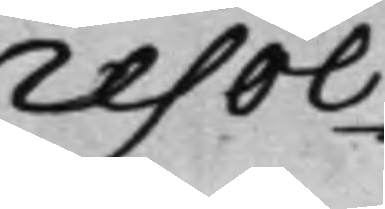Resol¬
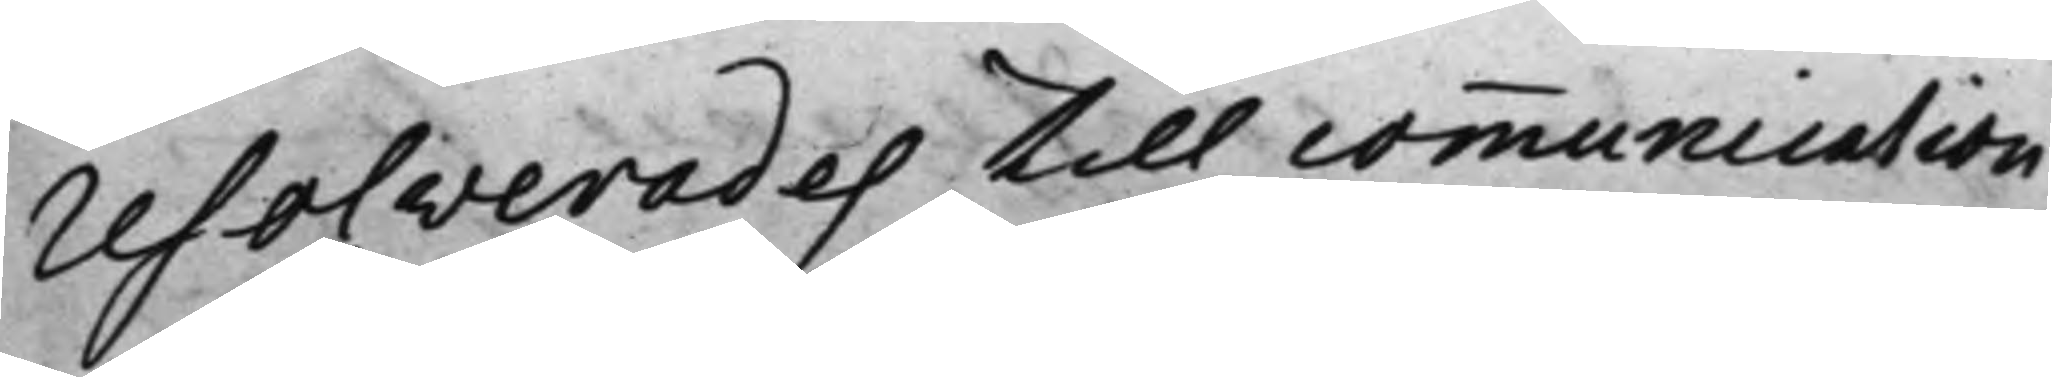resolverades till communication
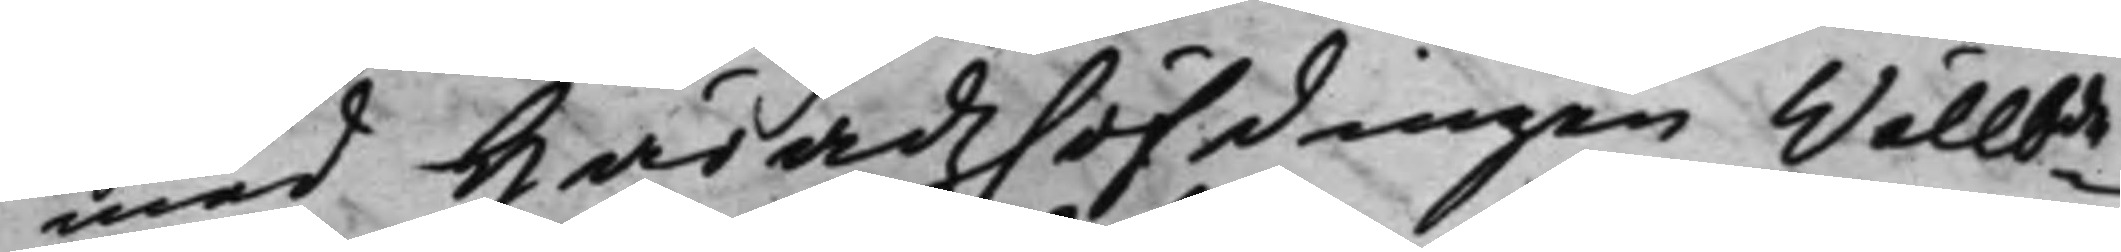med Häradzhöfdingen Wälbde
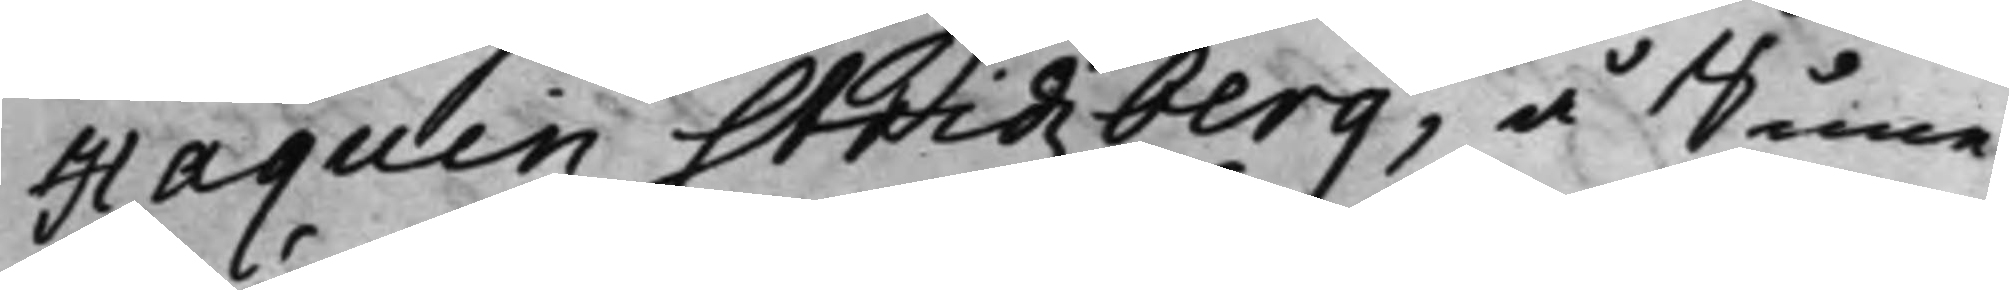Haguin Stridzberg, å Sune¬
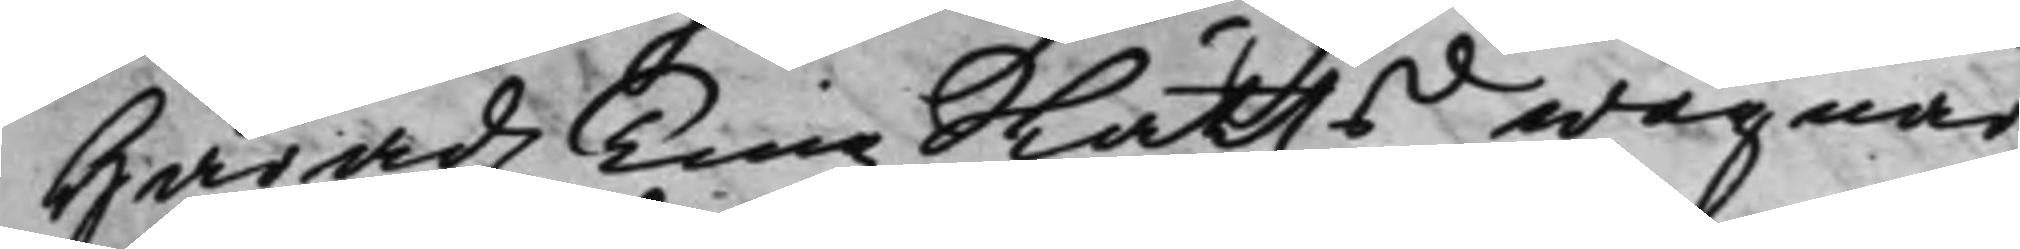Häradz TingsRätts wägnar,
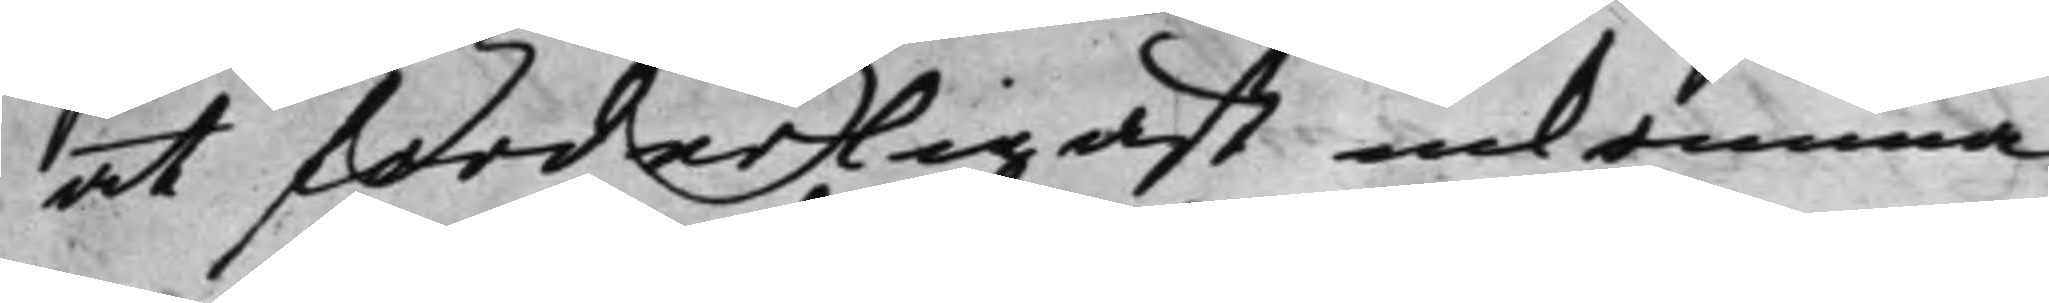at forderligast inkomma
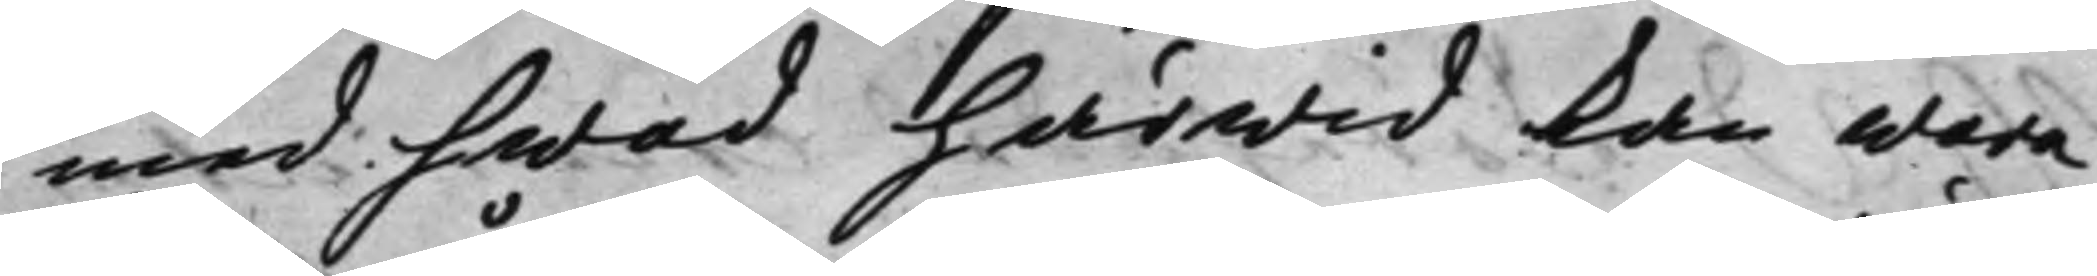med hwad härwid kan wara
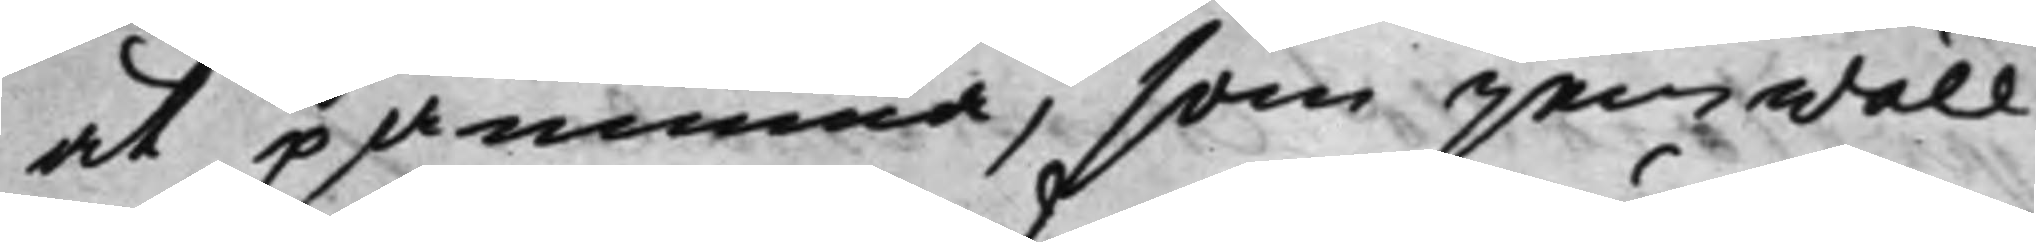at påminna, som jemwäll
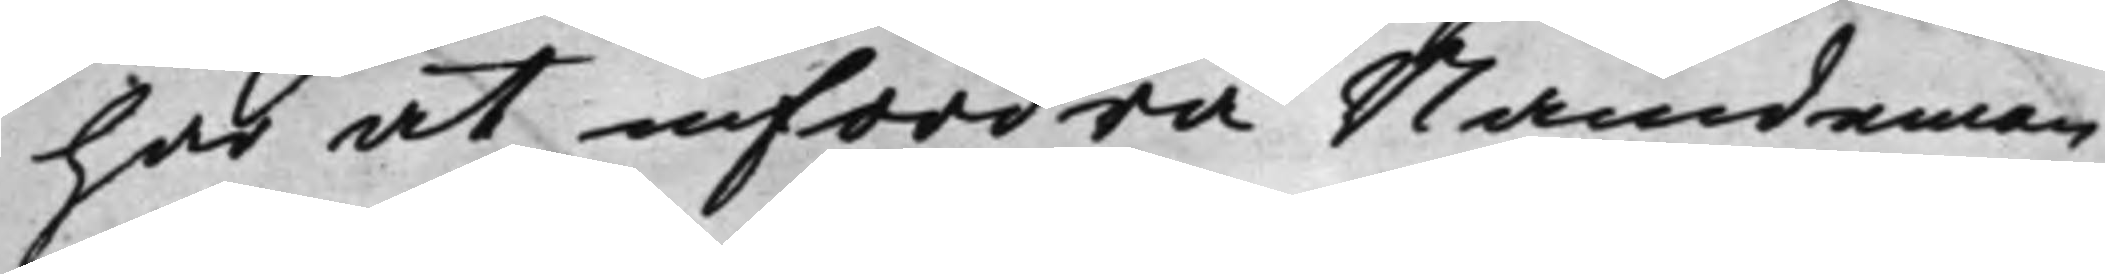har at infordra Nämdeman¬
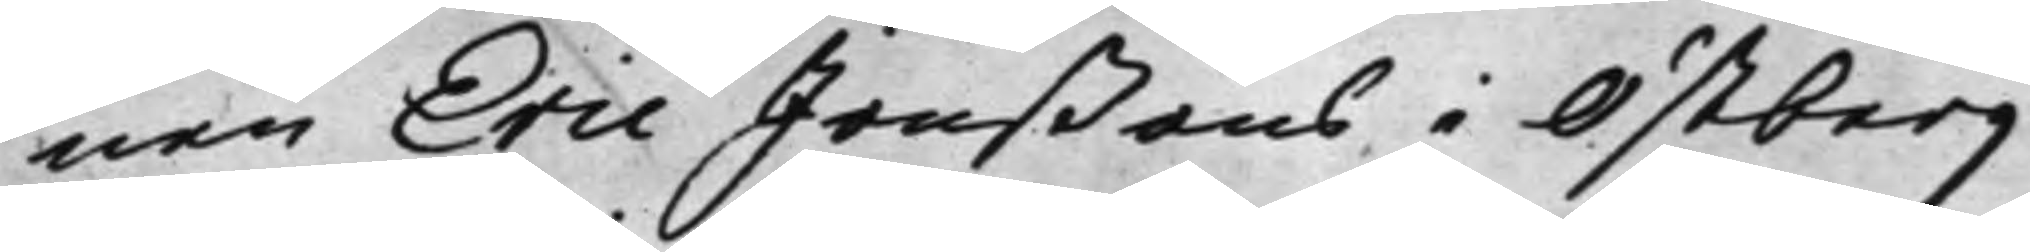nen Eric Jonßons i Östberg
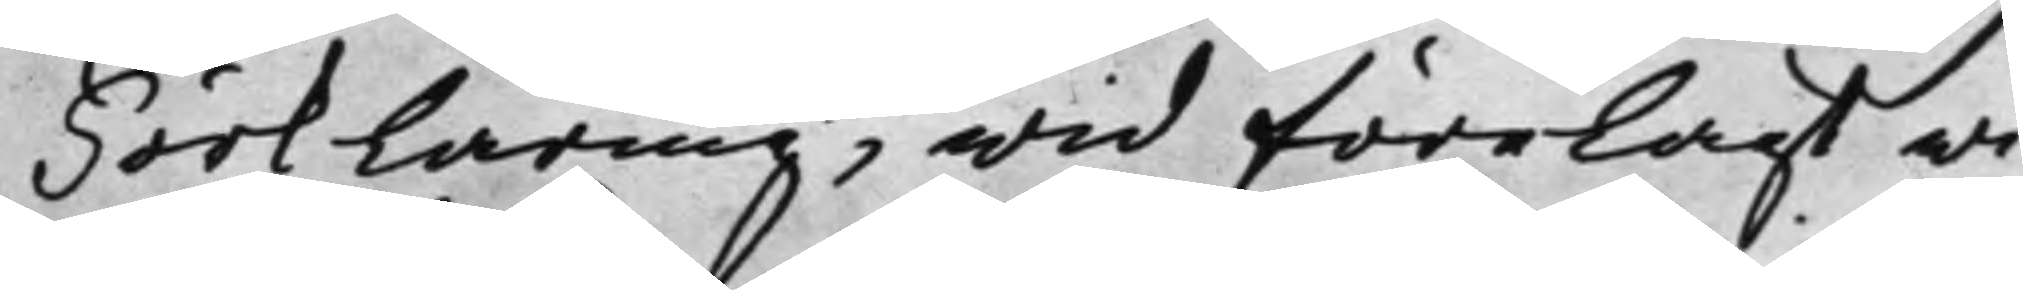Förklaring, wid förelagt wi¬
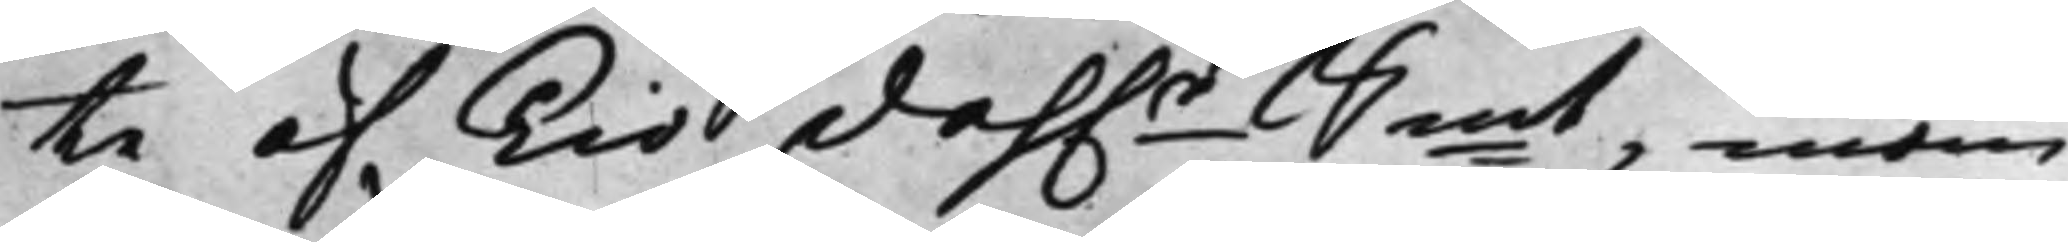te af Tio dah.r Smt, inom
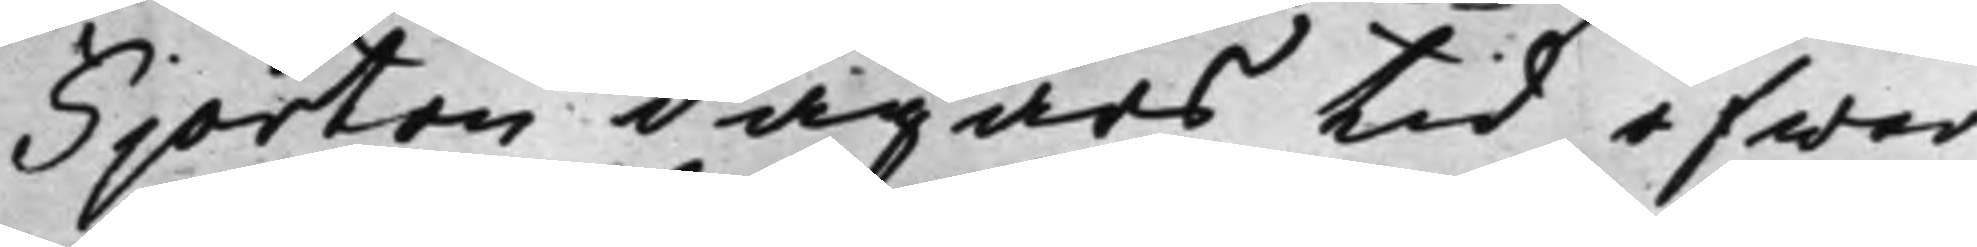Fjorton dagars tid öfwer
